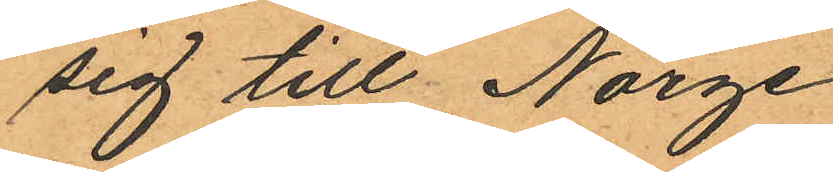sig till Norge
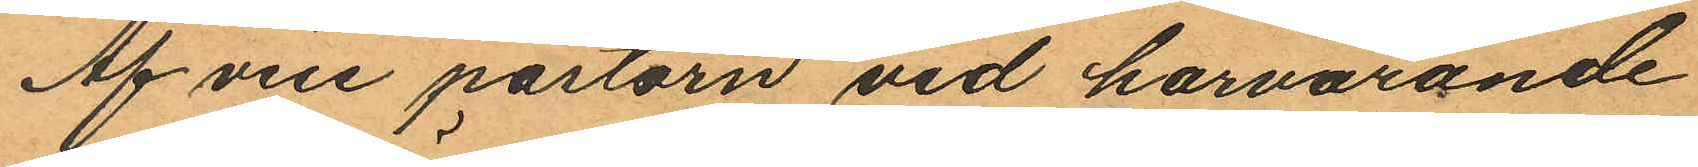Af vice pastorn vid härvarande
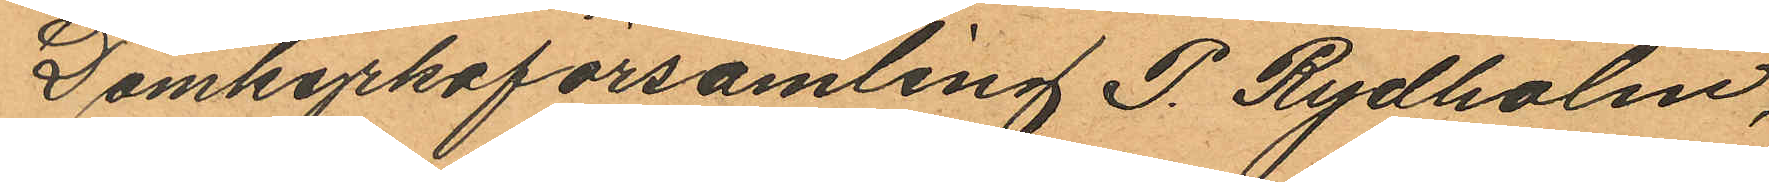Domkyrkoförsamling P. Rydholm,
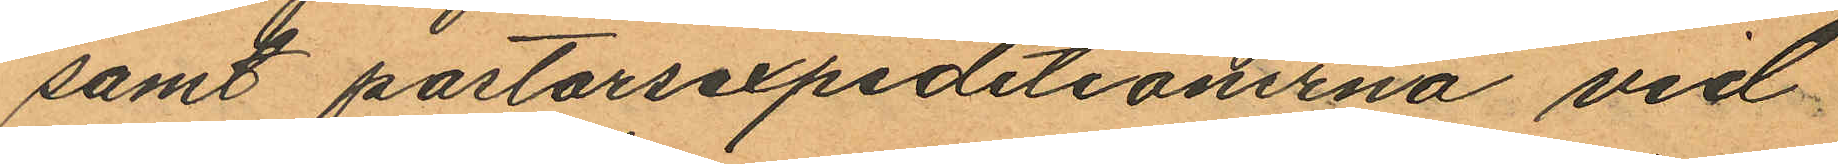samt pastorsexpeditionerna vid
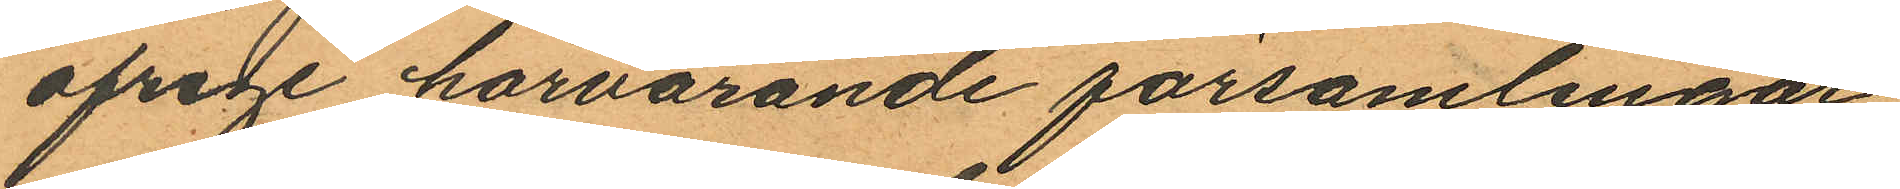öfrige härvarande församlingar
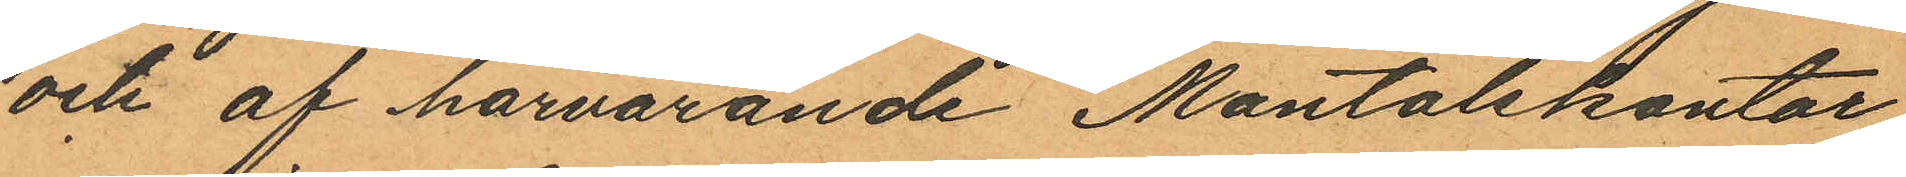och af härvarande Mantalskontor
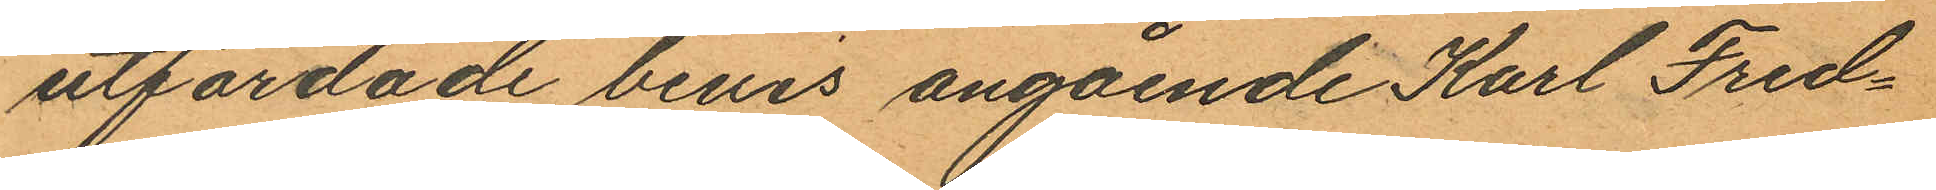utfärdade bevis angående Karl Fred¬
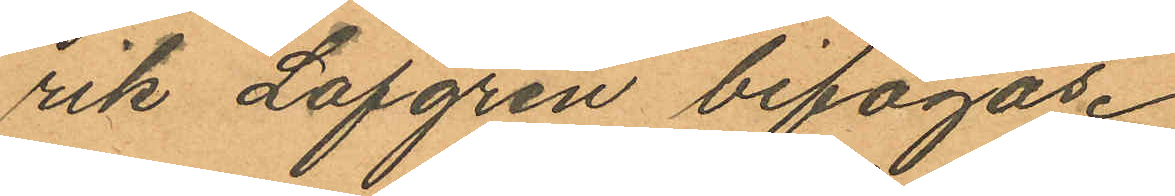rik Lofgren bifogas.
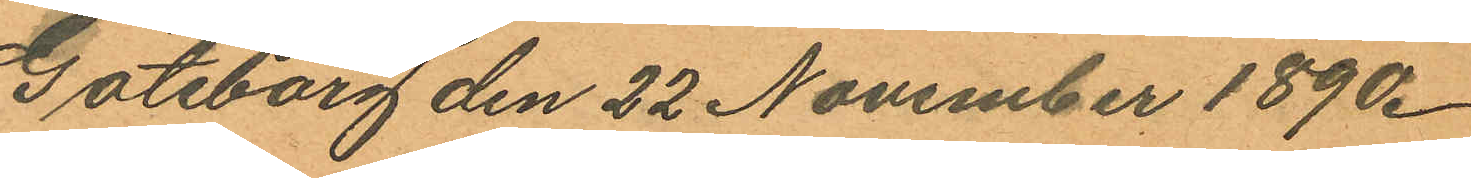Göteborg den 22 November 1890.
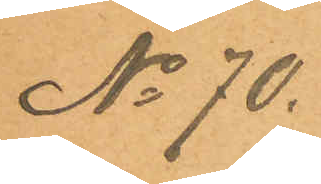No 70.
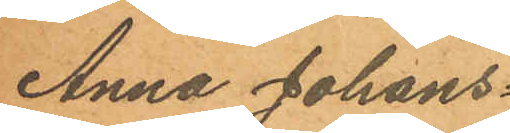Anna Johans¬
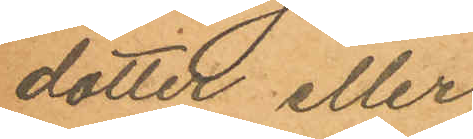dotter eller
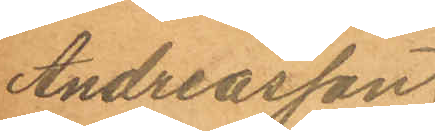Andreasson.
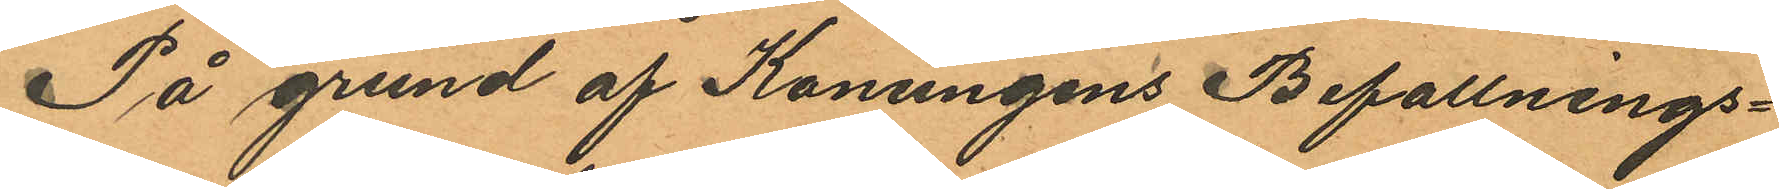På grund af Konungens Befallnings¬
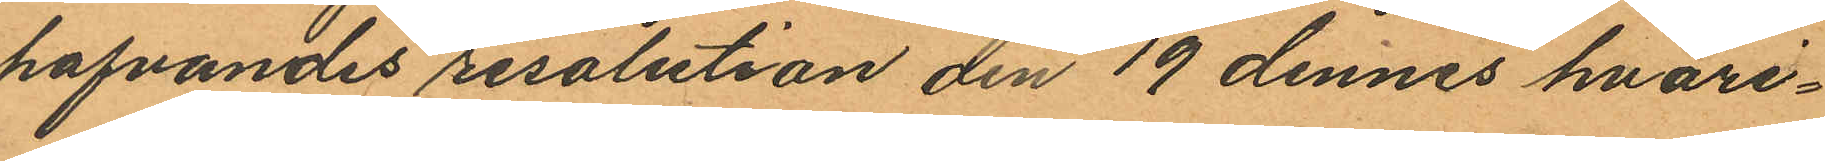hafvandes resolution den 19 dennes hvari¬
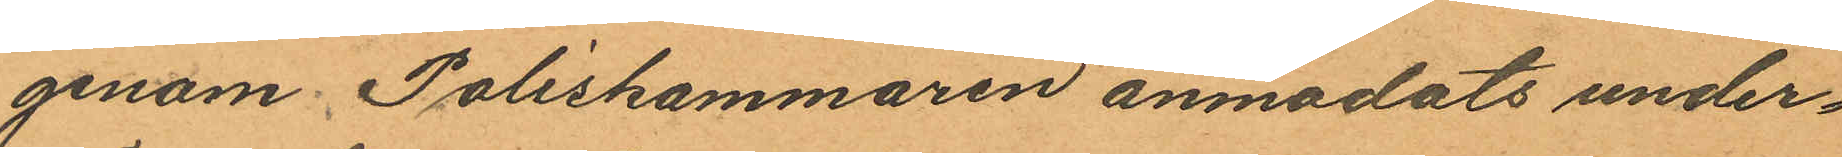genom Poliskammaren anmodats under¬
